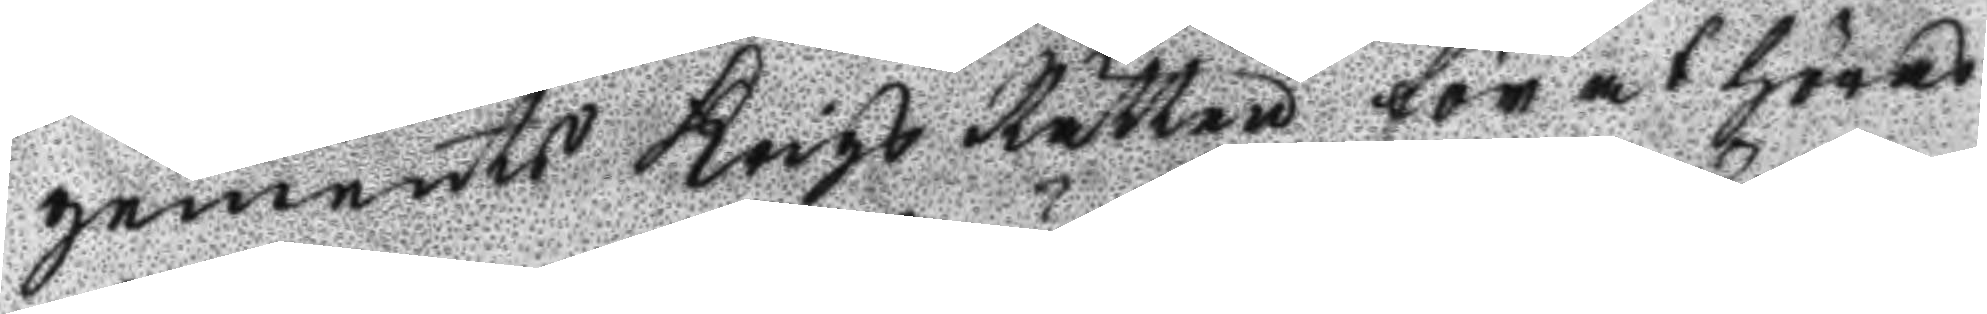gements Krigs Rätten för at höras
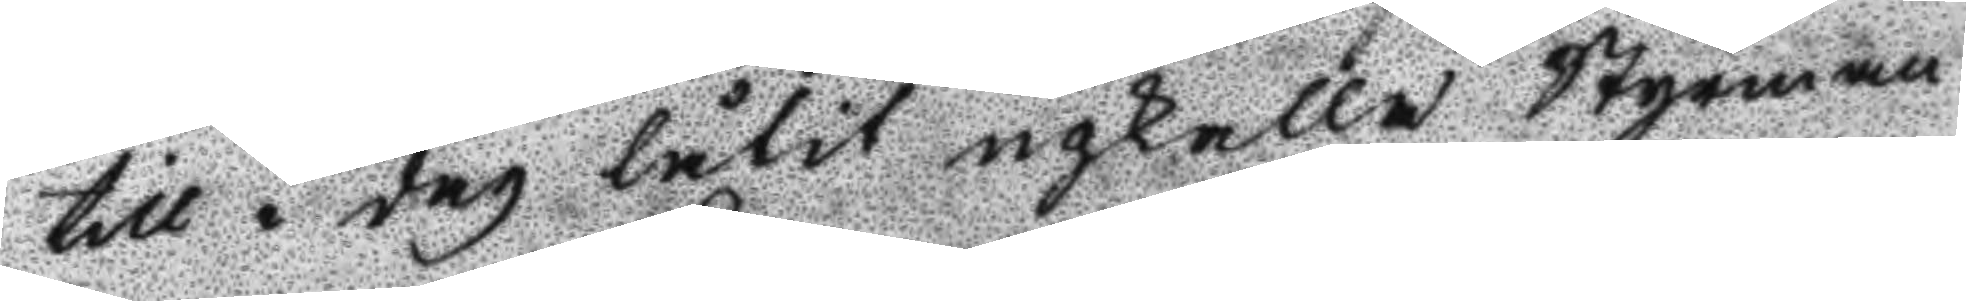till i dag låtit inkalla Styrman
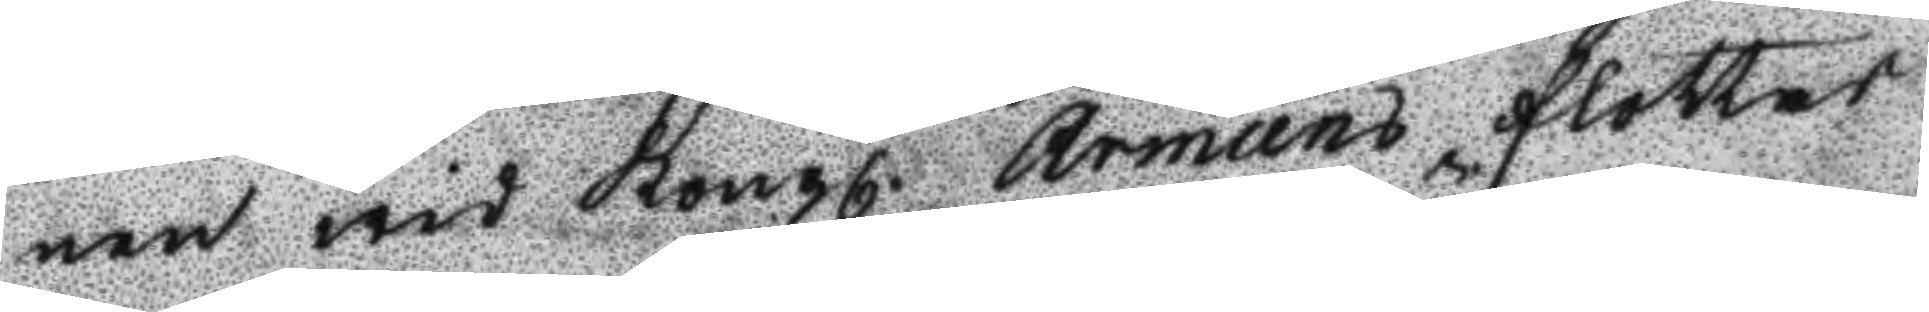nen wid Kongl. Armens flottas
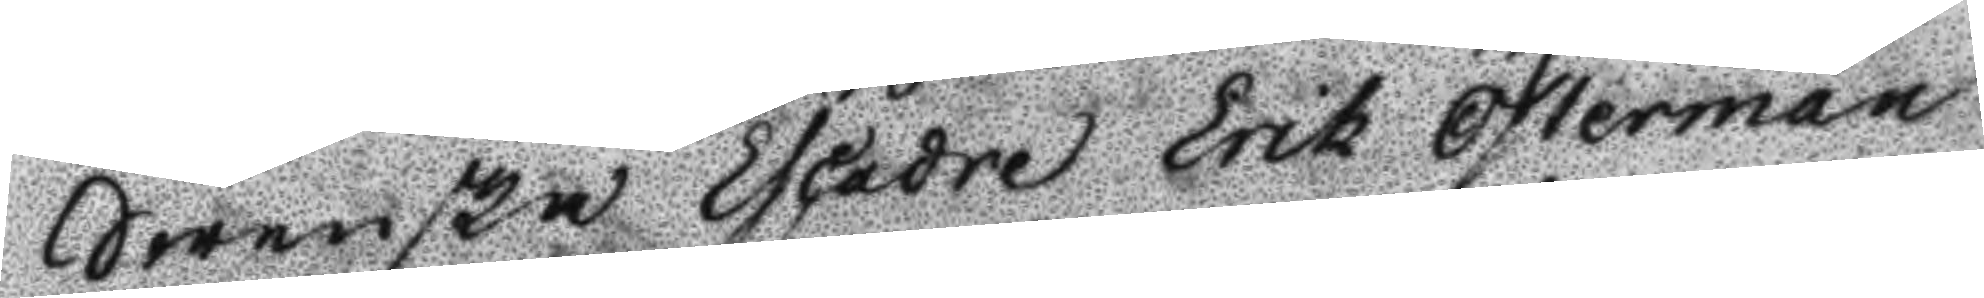Swenska Escader Erik Österman
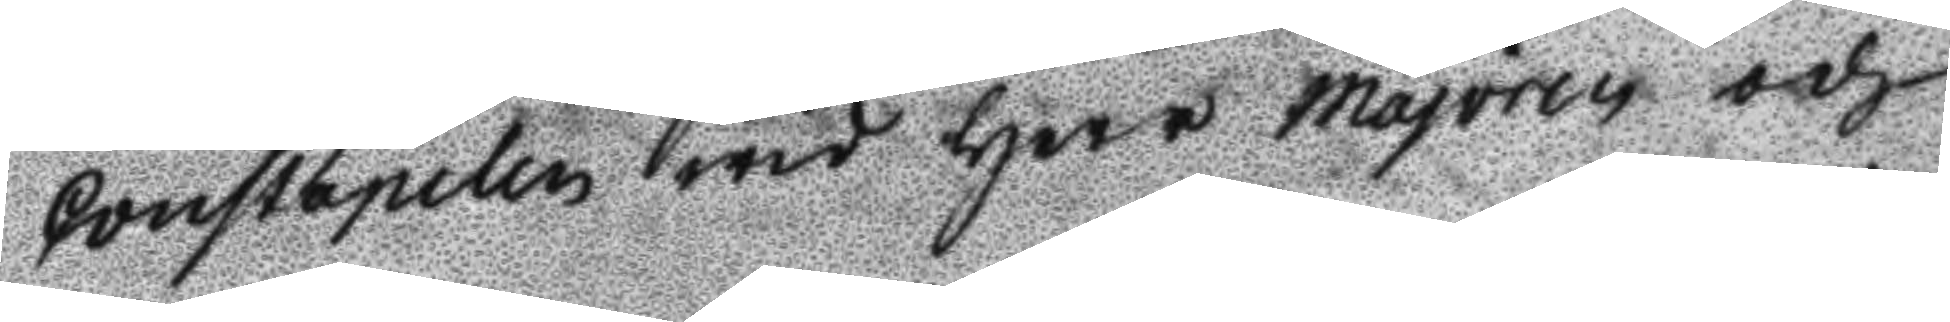constapelen wid Herr majoren och
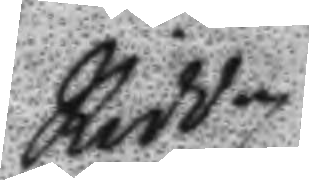Ridd¬
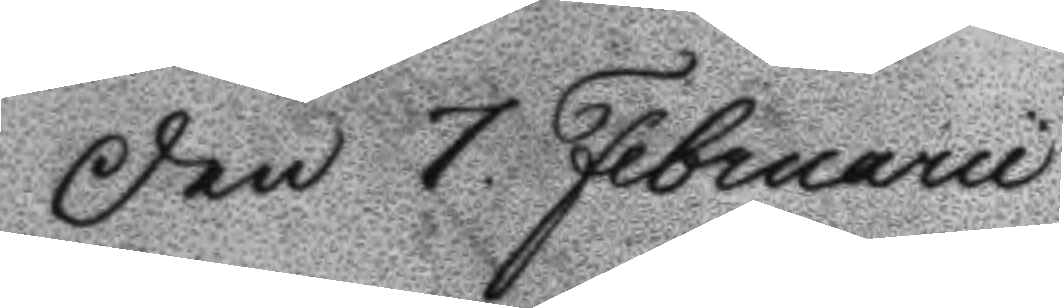den 7 Februarii
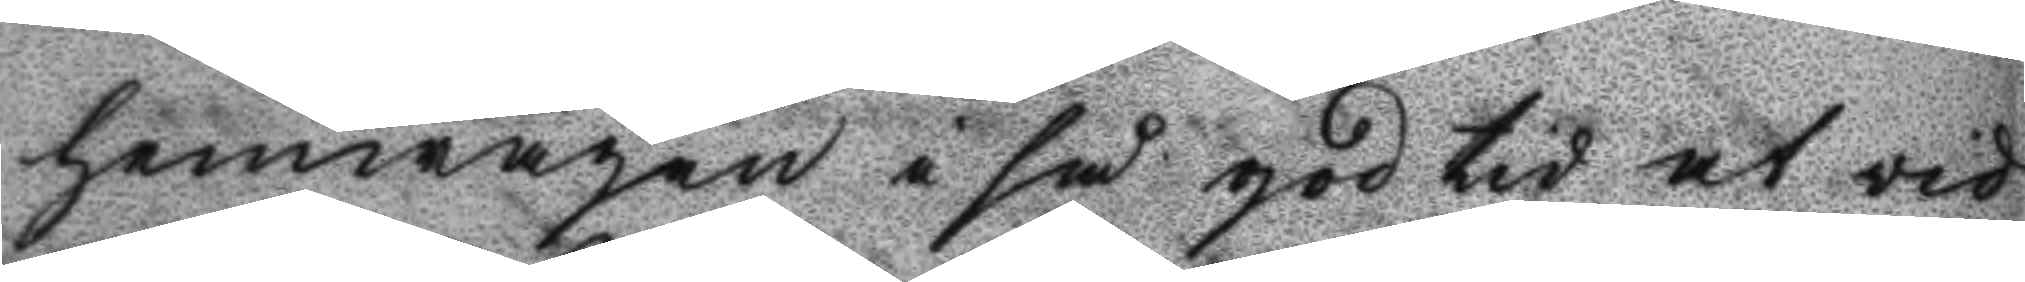hemwägen i så god tid at vid
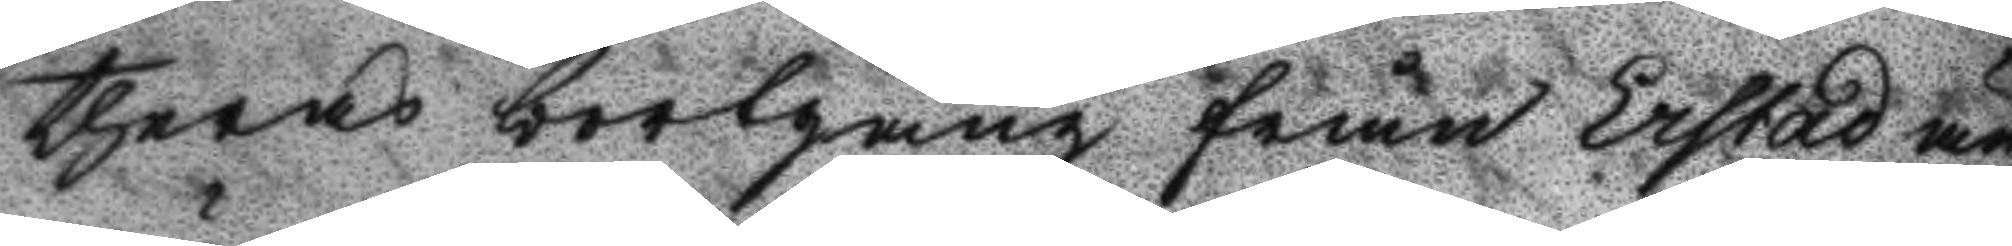theras bortgång från Erstad än¬
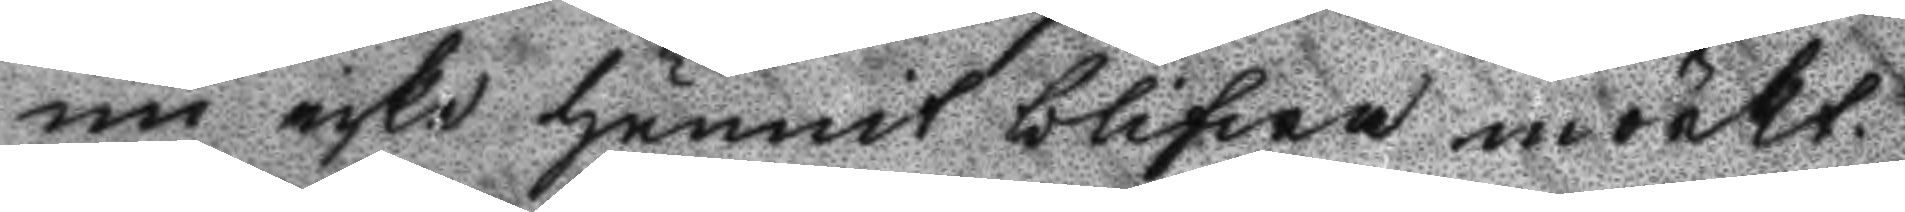nu icke hunnit blifwa mörkt.
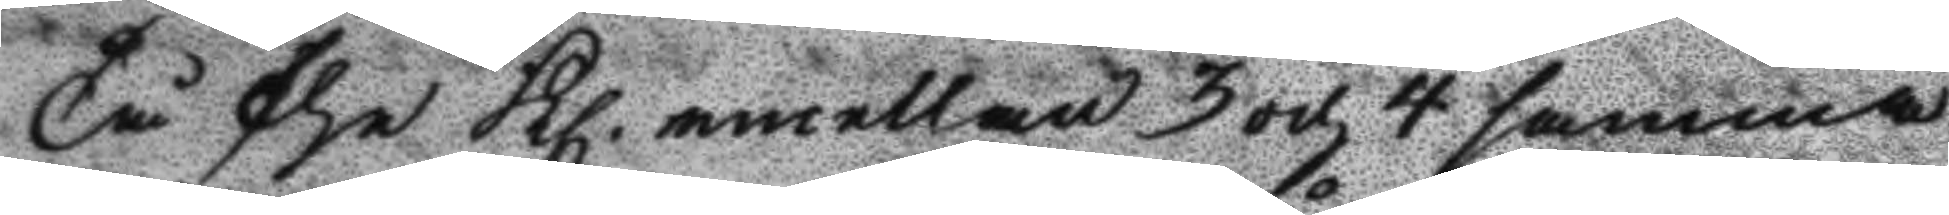Tå the Kl. emellan 3 och 4 samma
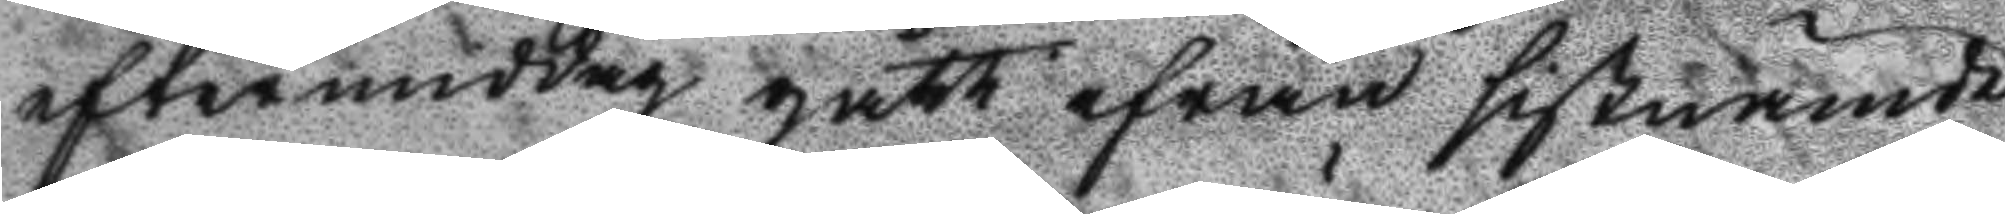eftermiddag gått ifrån sistnämde
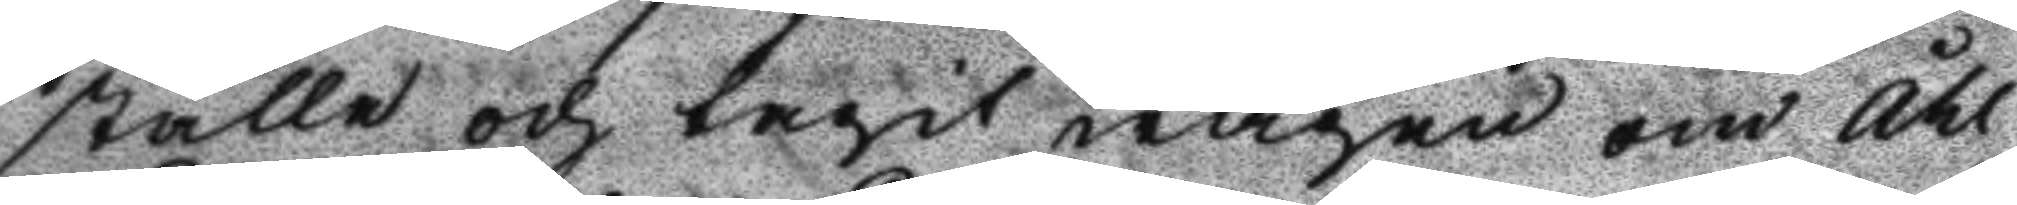ställe och tagit wägen om Åhl¬
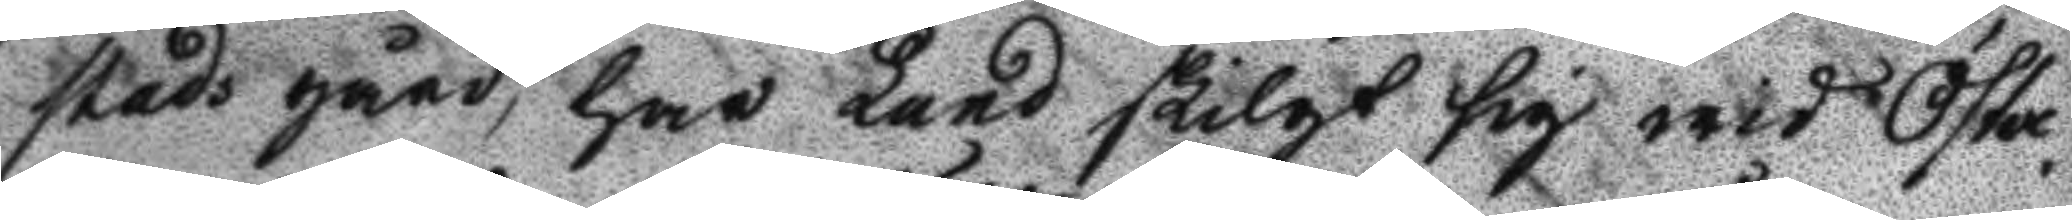stads gård, har Lund skilgt sig wid Öster¬
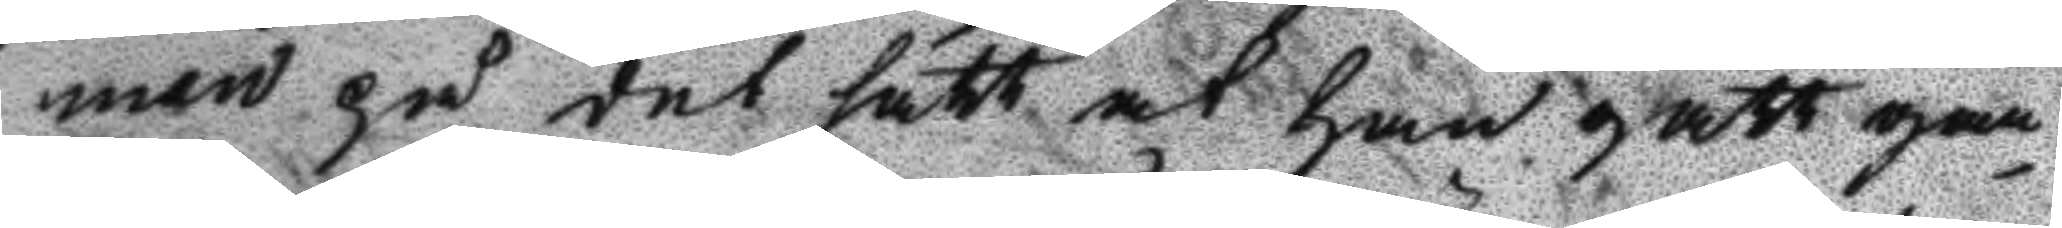man på det sätt at han gått gan¬
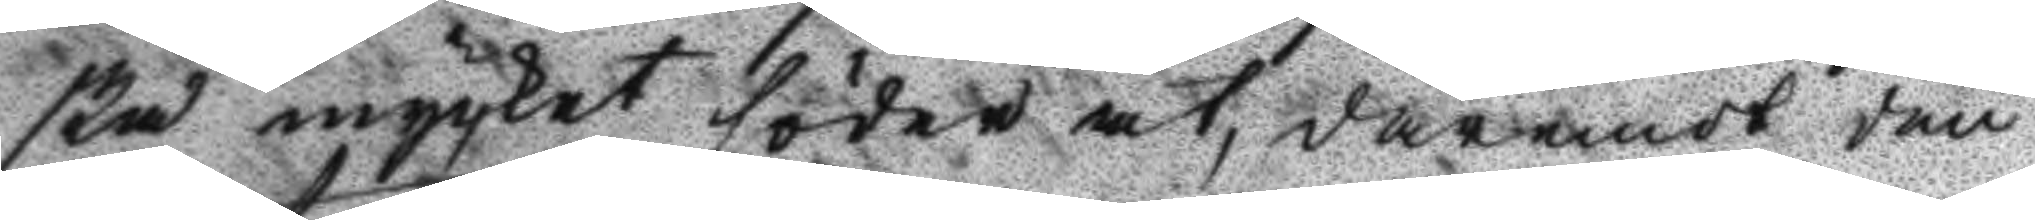ska mycket söder åt, däremot dän¬
